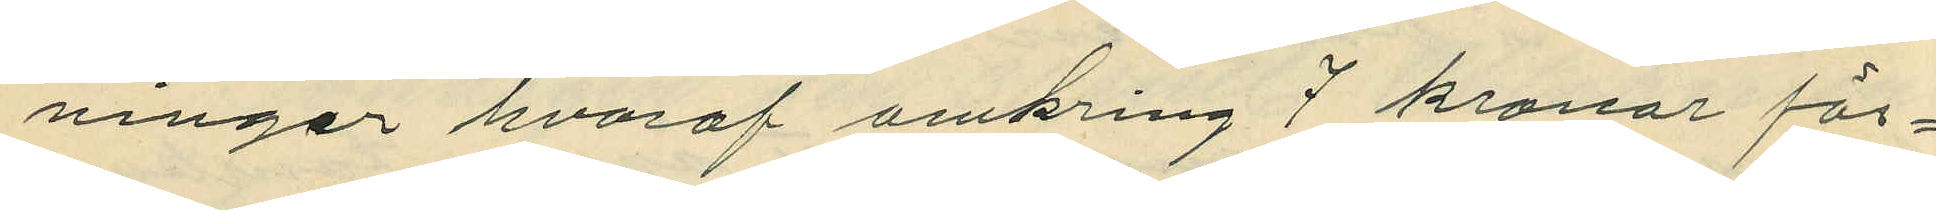ningar hvaraf omkring 7 kronor för¬
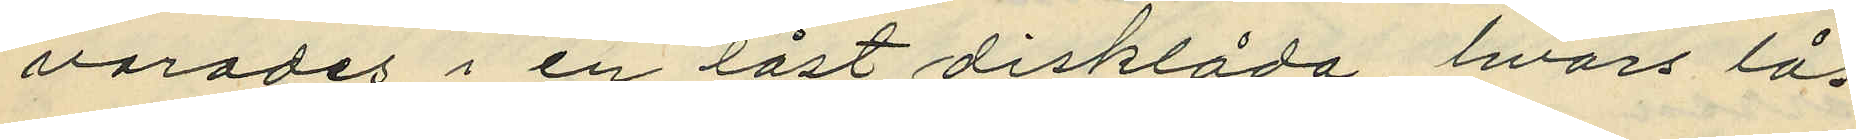varades i en låst disklåda, hvars lås
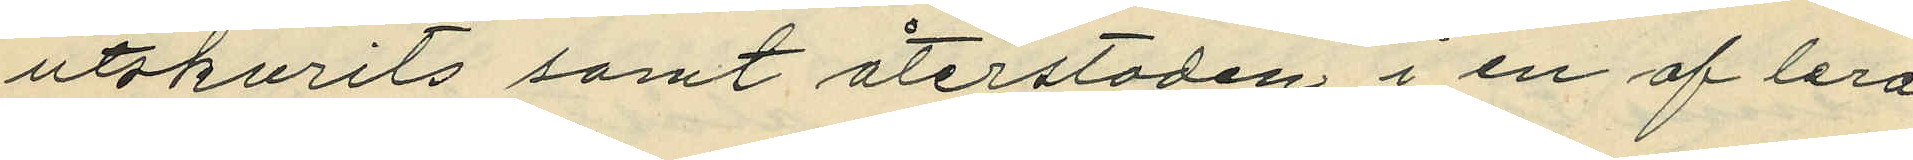utskurits samt återstoden i en af lera
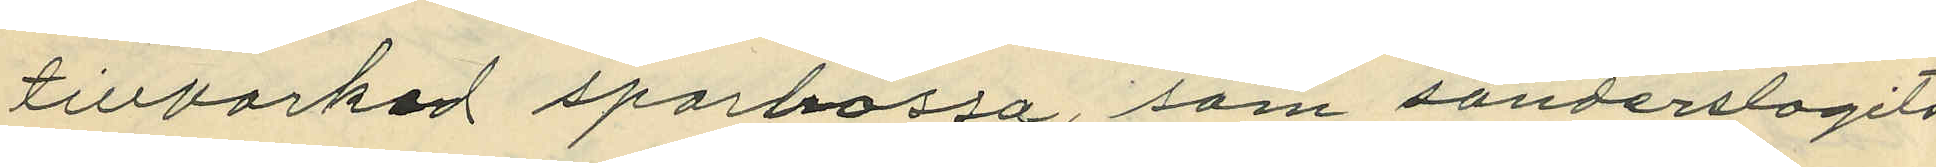tillverkad sparbössa, som sönderslagits
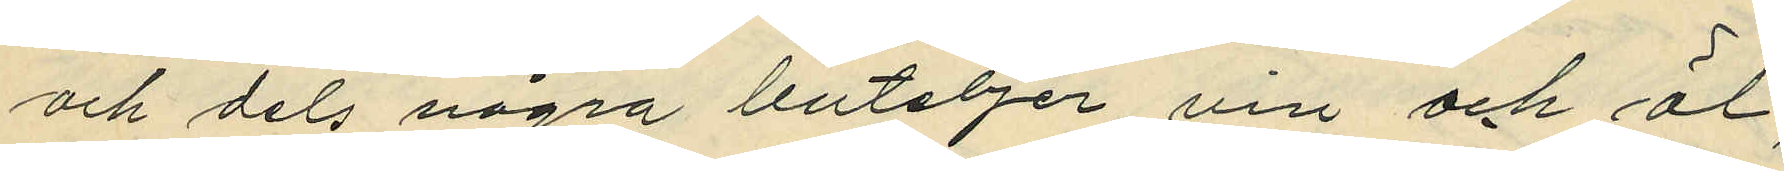och dels några buteljer vin och öl;
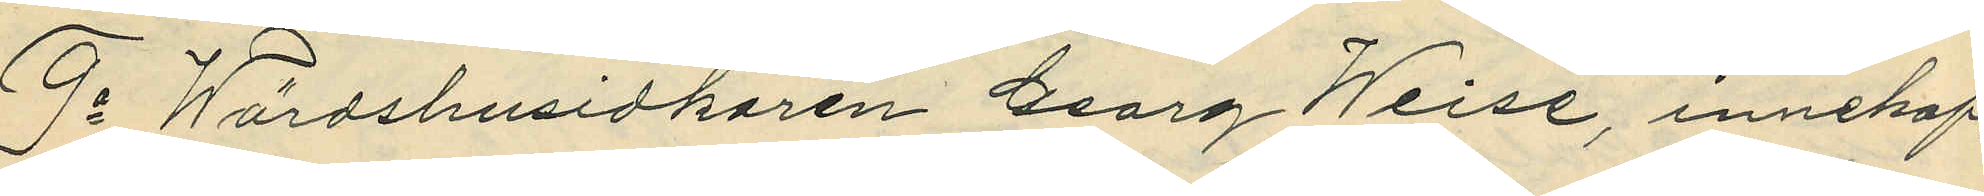9o Wärdshusidkaren Georg Weise, innehaf¬
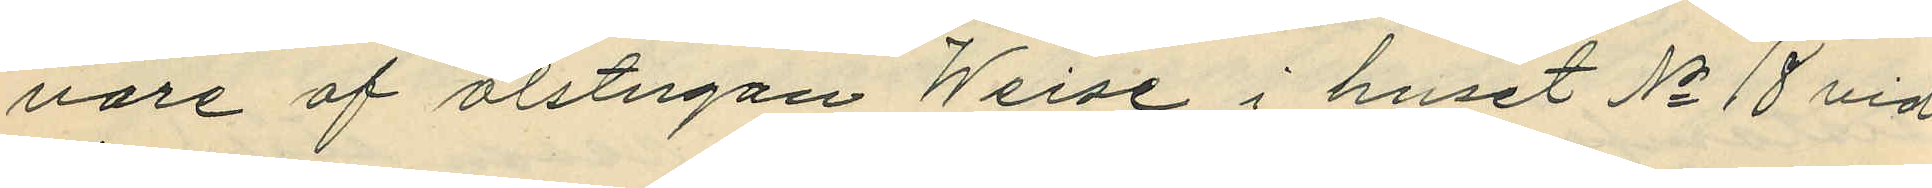vare af ölstugan Weise i huset No 18 vid
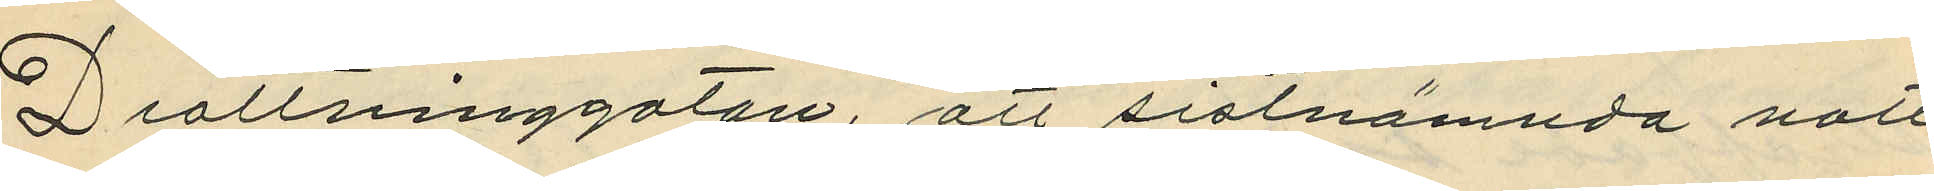Drottninggatan, att sistnämnda natt
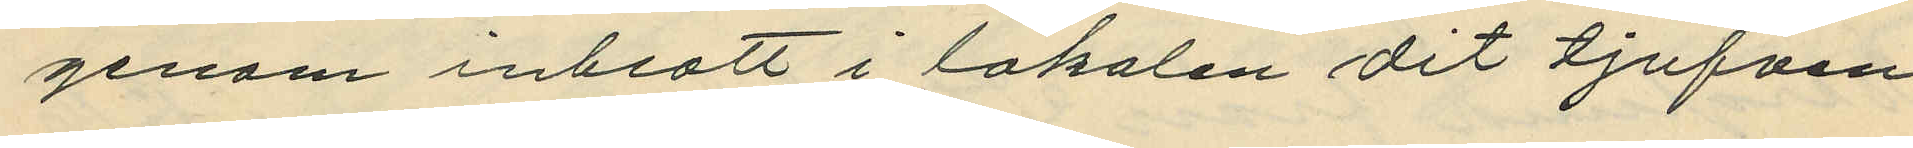genom inbrott i lokalen dit tjufven
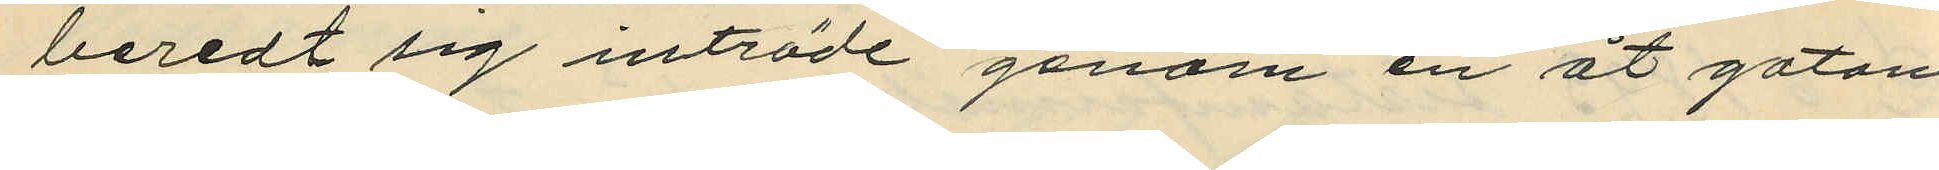beredt sig inträde genom en åt gatan
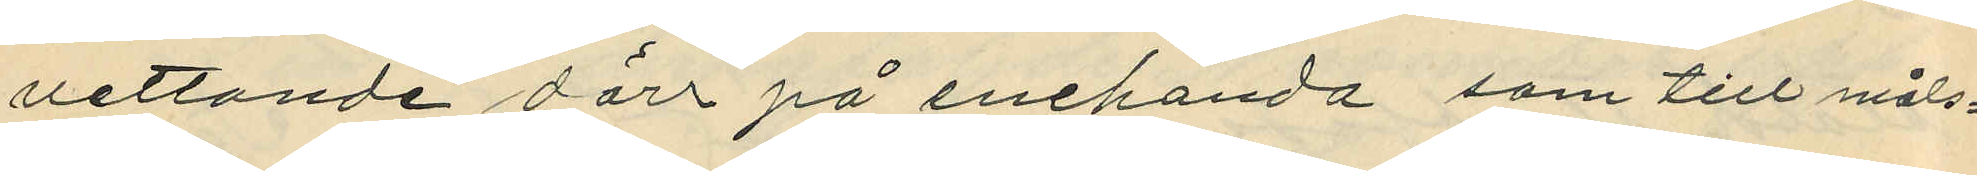vettande dörr på enehanda som till måls¬
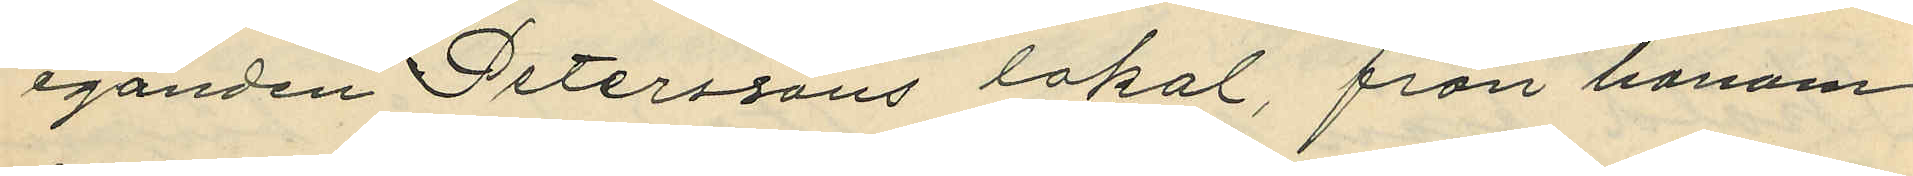eganden Petterssons lokal, från honom
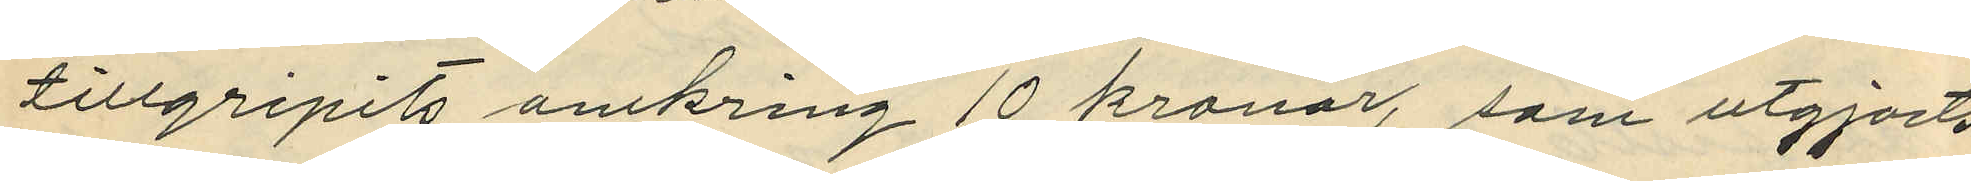tillgripits omkring 10 kronor, som utgjorts
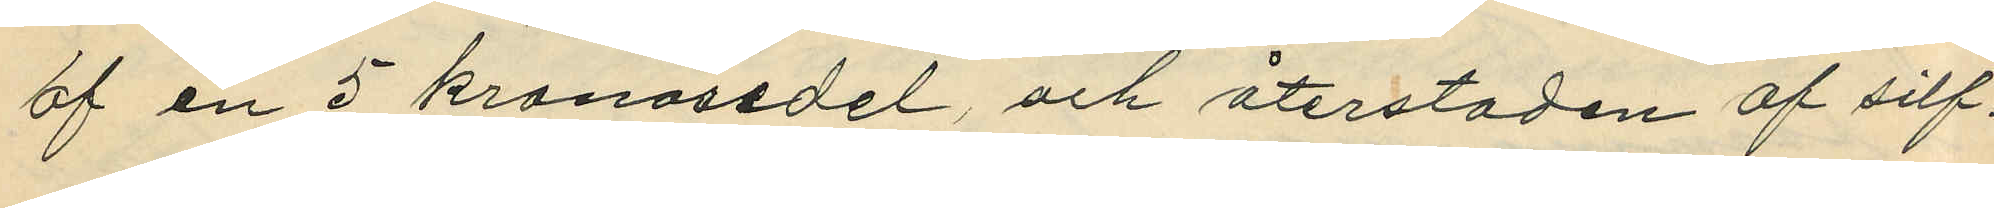af en 5 kronosedel och återstoden af silf¬
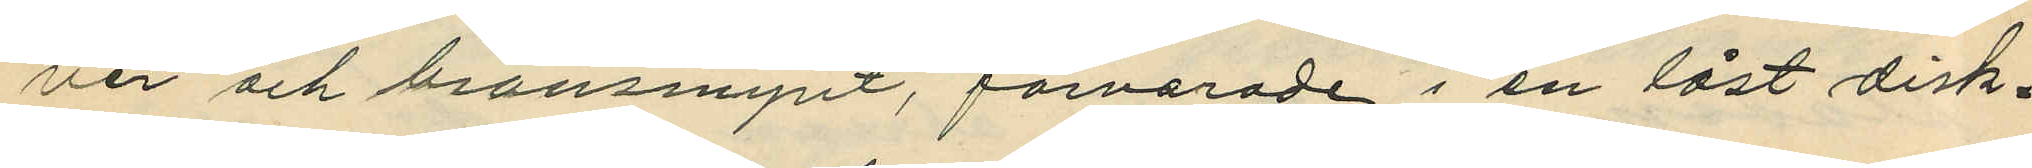ver och bronsmynt, förvarade i en låst disk¬
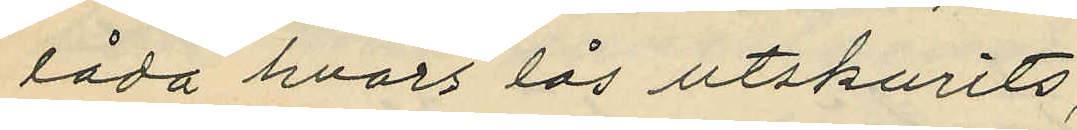låda hvars lås utskurits;
